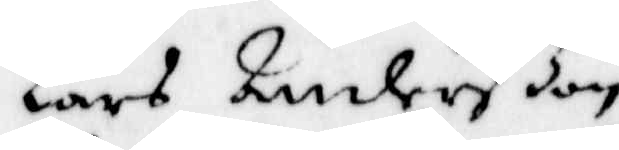Lars Anderßon,
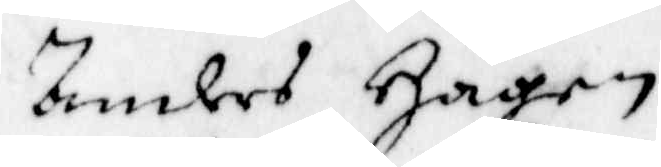Anders Hagen,
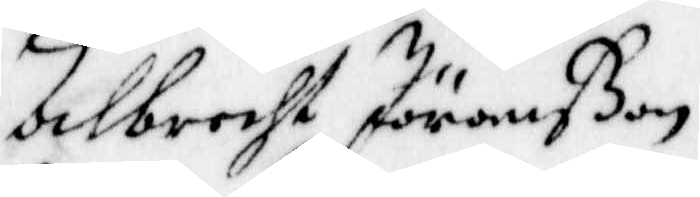Albrecht Jöranßon,
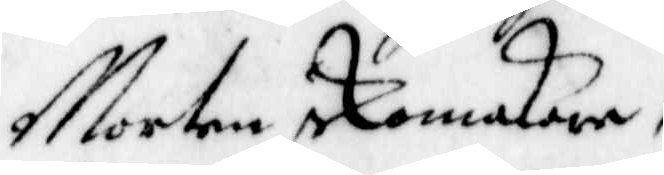Morten Skomakare,
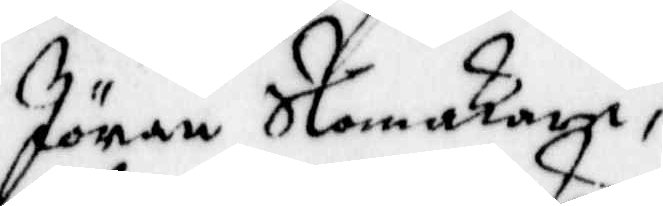Jöran Skomakare,
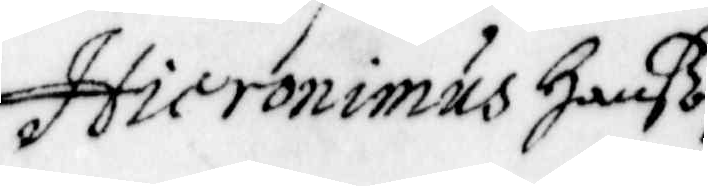Hieronimus Hanßon,
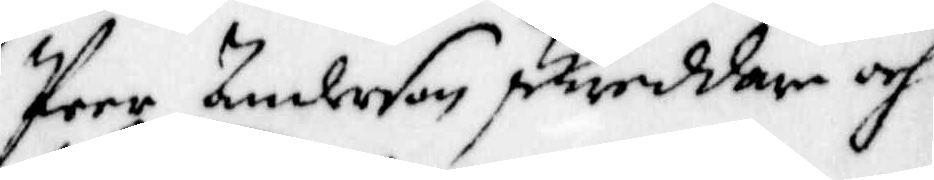Peer Anderson skreddare och.
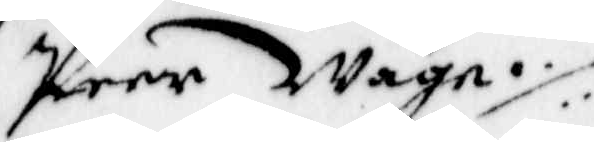Peer Wagn ./.
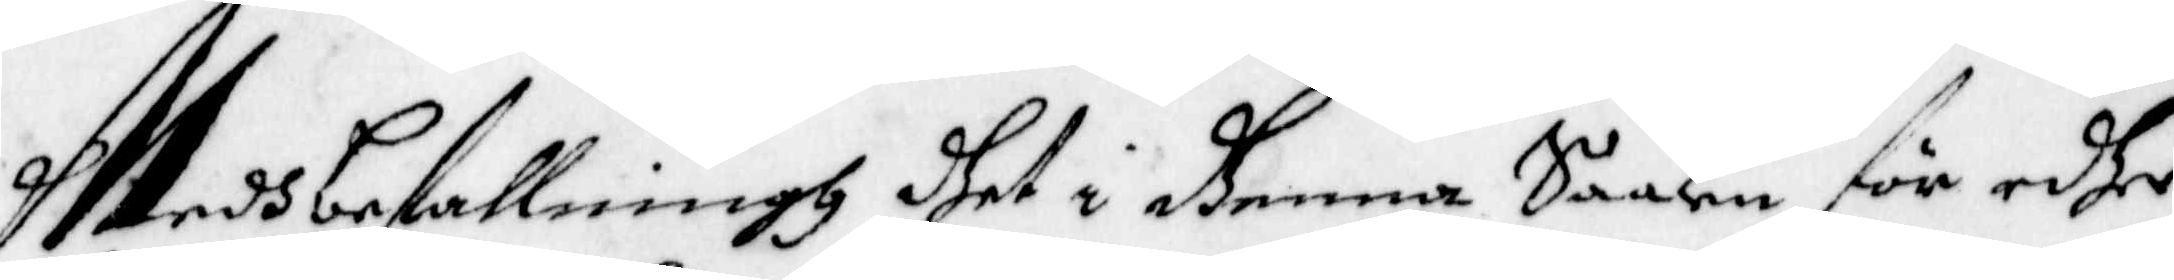Medh befallningh dhet i dhenna Saaken för edher
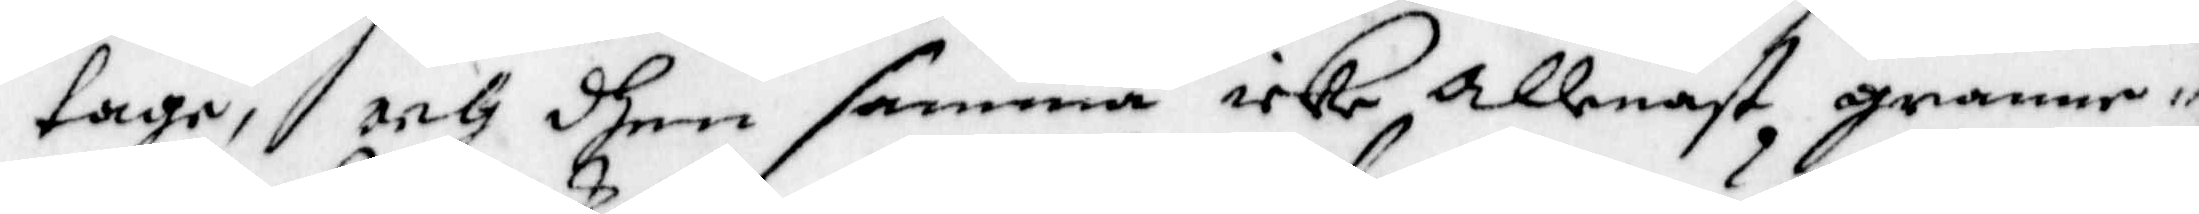tage, och dhen samma icke allenast granne¬
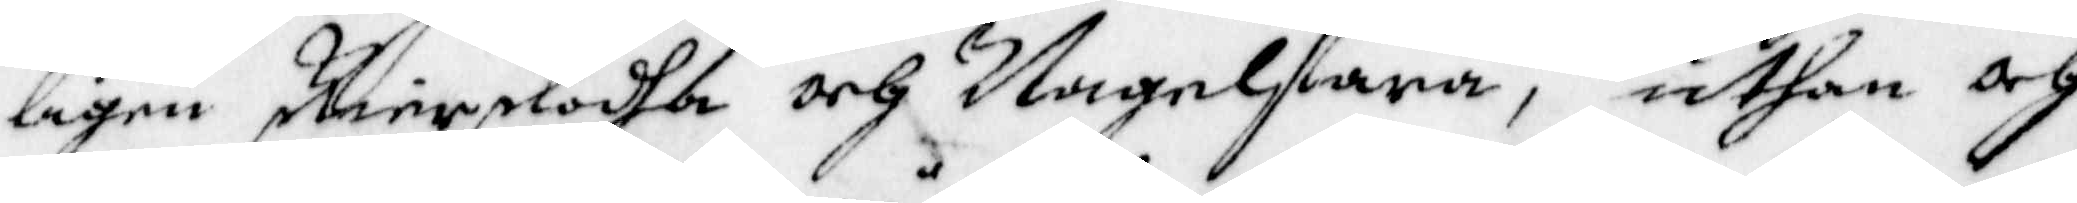ligen skirpkadha och Nagelfara, uthan och
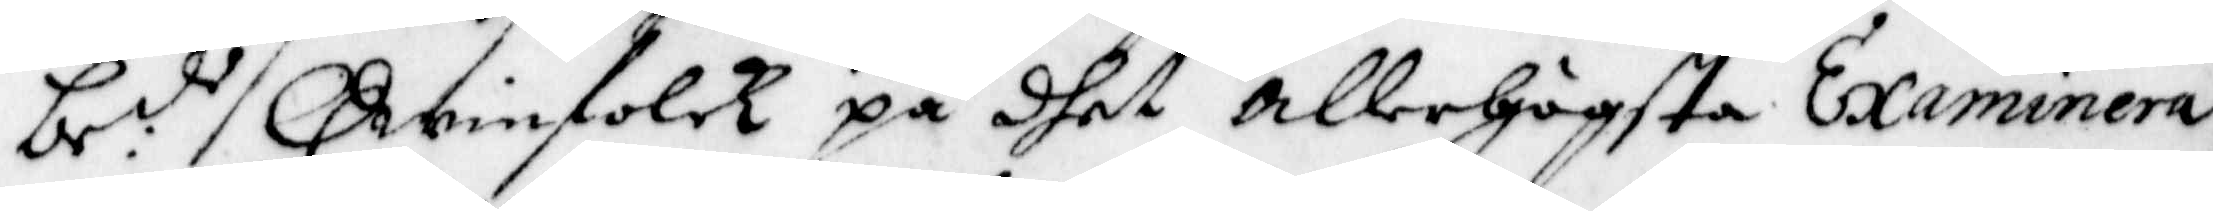be:de Qwinfolck på dhet allerhögsta Examinera
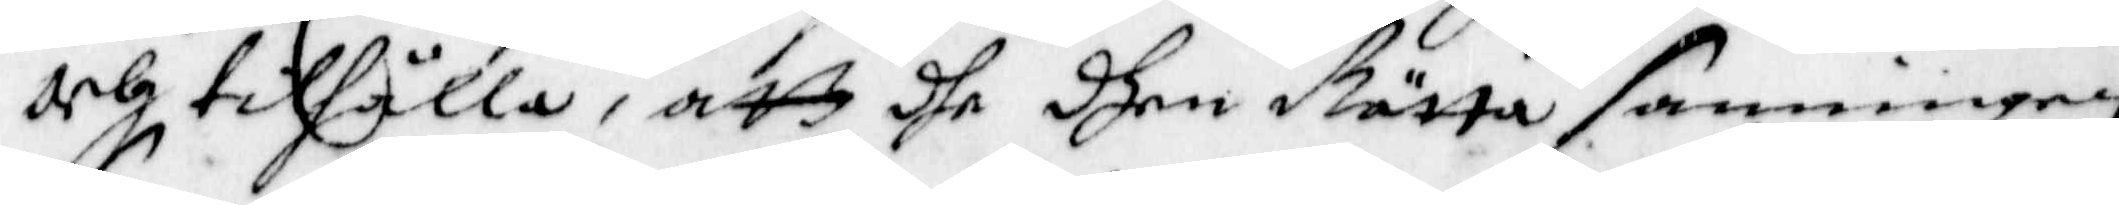och tillhålla, att dhe dhen Bästa sanningrn
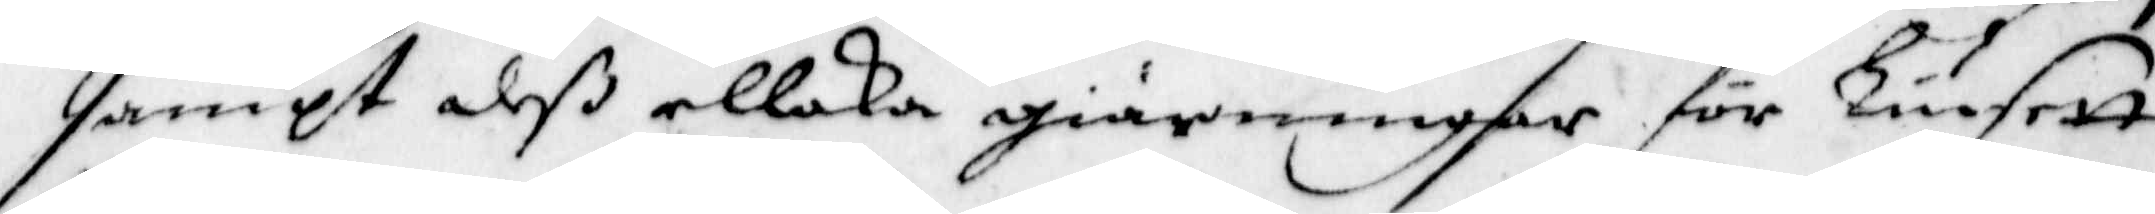sampt deß ellaka giärningar för liusett
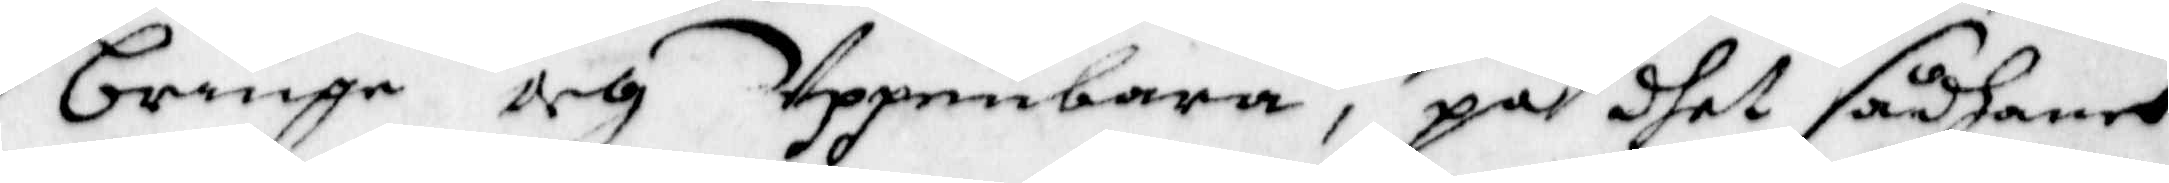bringa och Uppenbara, på dhet sådhant
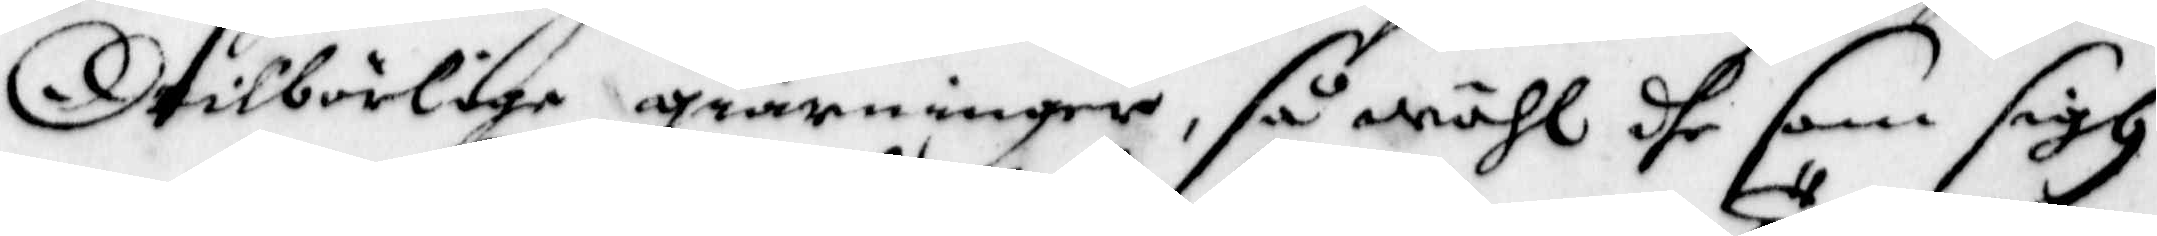otilbörlige giärninger, så wähl dhe som sigh
